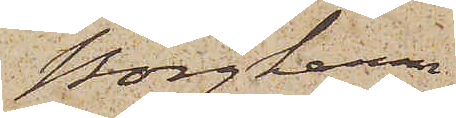Borghamn
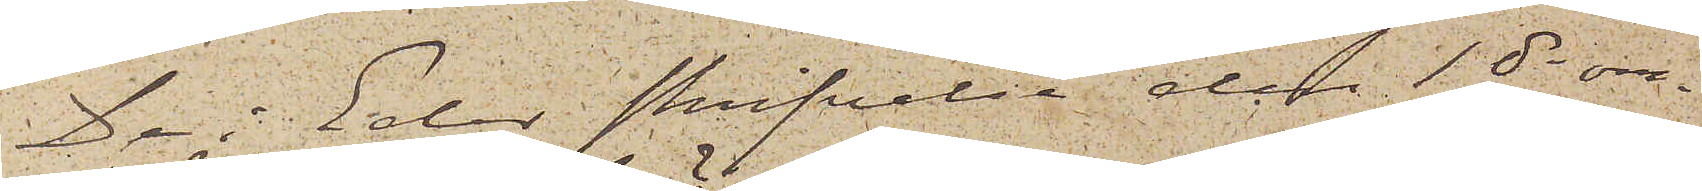De i Eder skrifvelse den 1 ds om¬
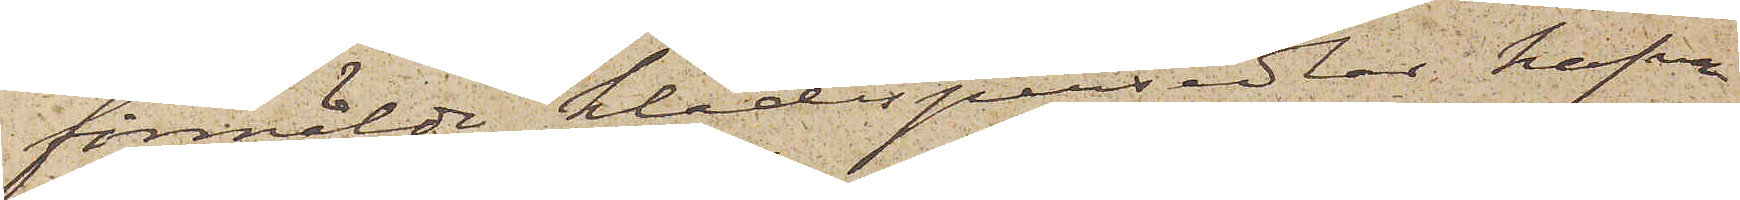förmälde klädespersedlar hafva
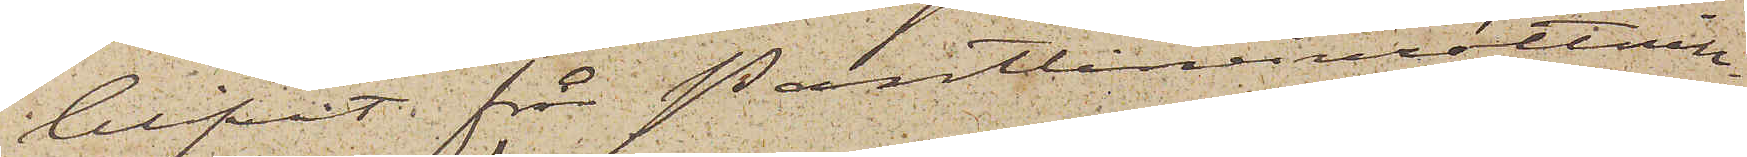blifvit från Pantlåneinrättnin¬
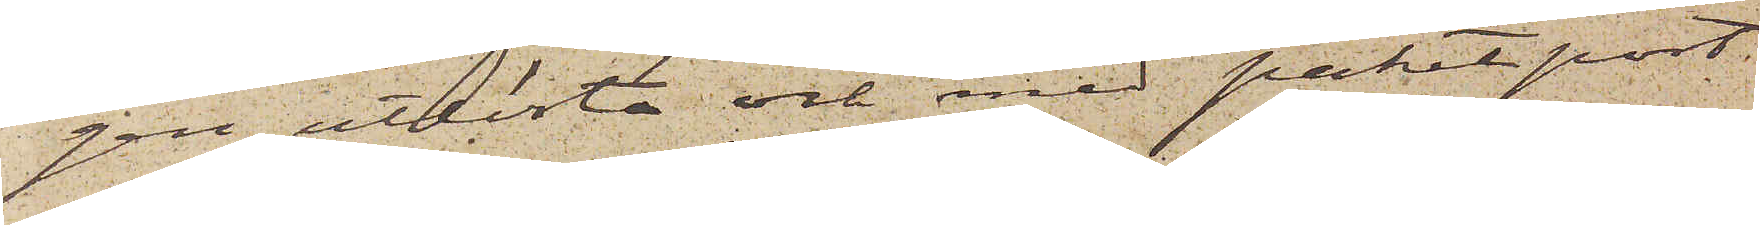gen utlösta och med paketpost
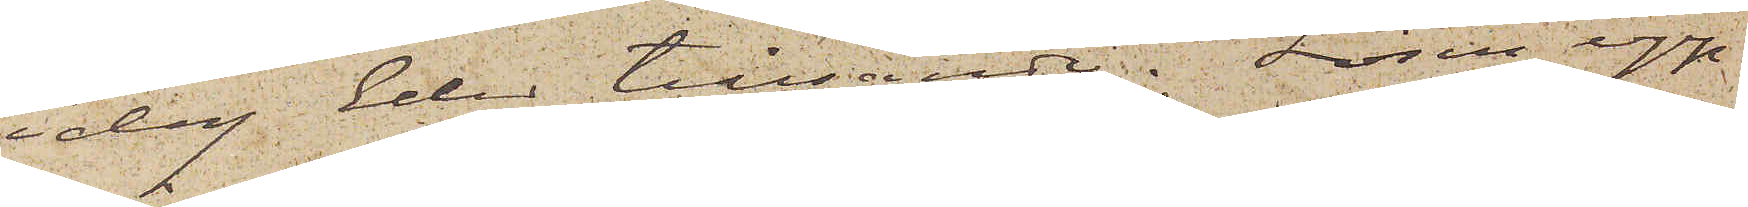idag Eder tillsände. Lösen upp¬
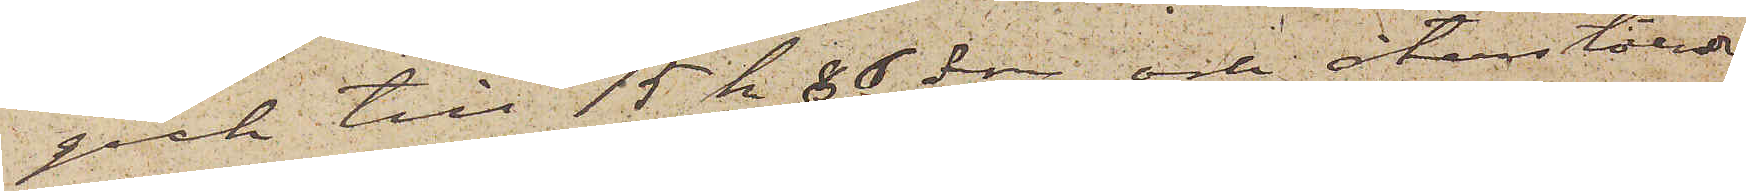gick till 15 kr 86 öre och återstående
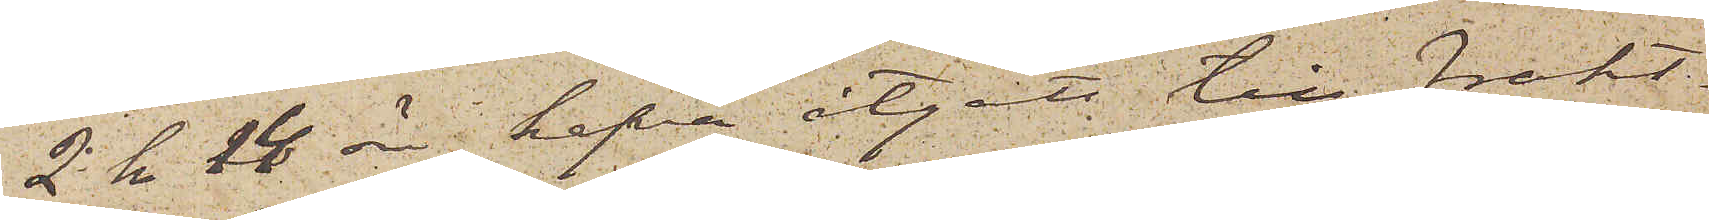2 kr 16 öre hafva åtgått till frakt¬
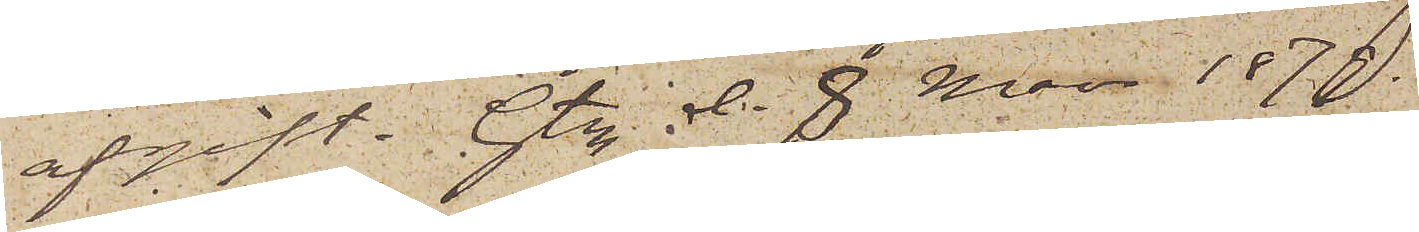afgift. Gtbg den 8 Mars 1879.
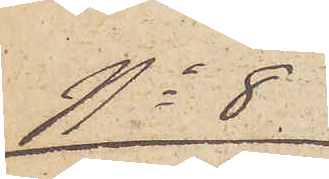No 8
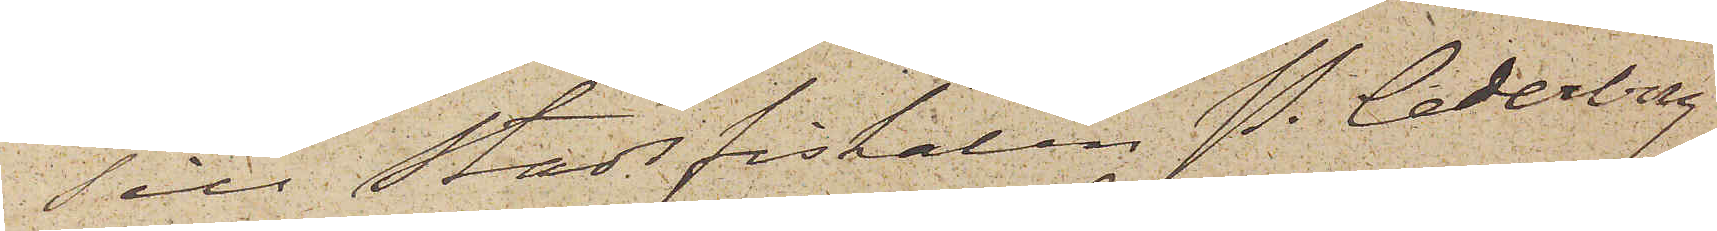Till Stadsfiskalen P. Cederborg
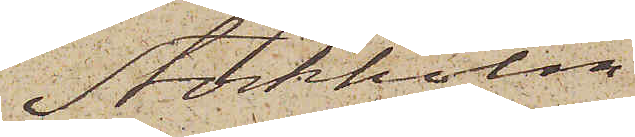Stockholm.
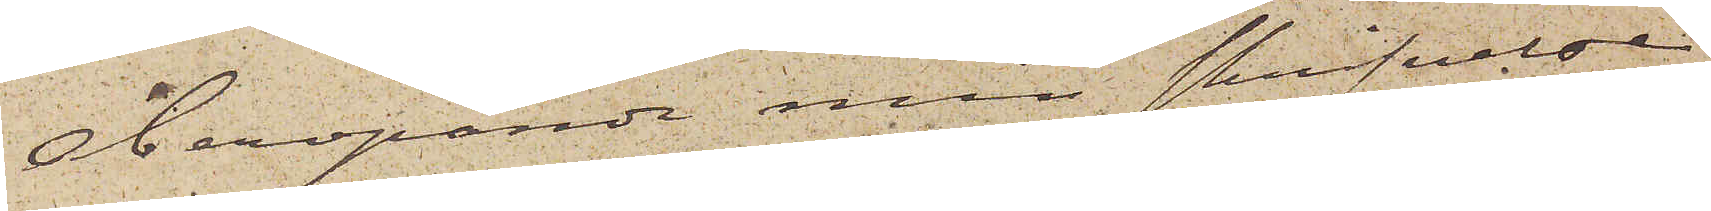Åberopande min skrifvelse
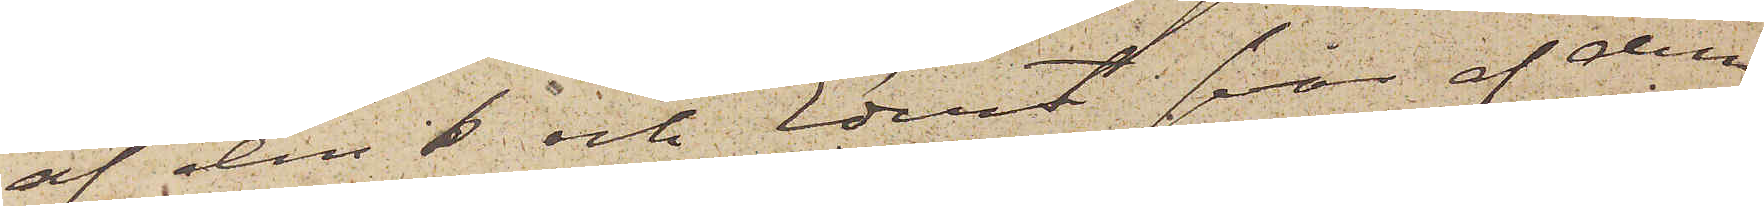af den 6 och Edert svar af den
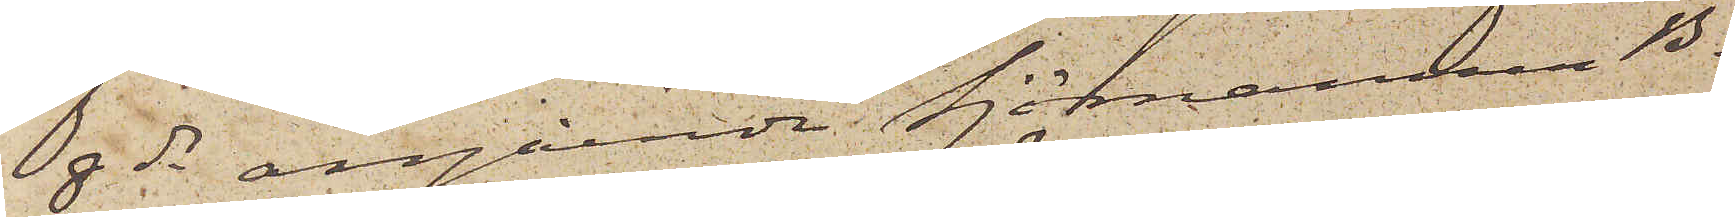8 ds angående Sjömannen B.
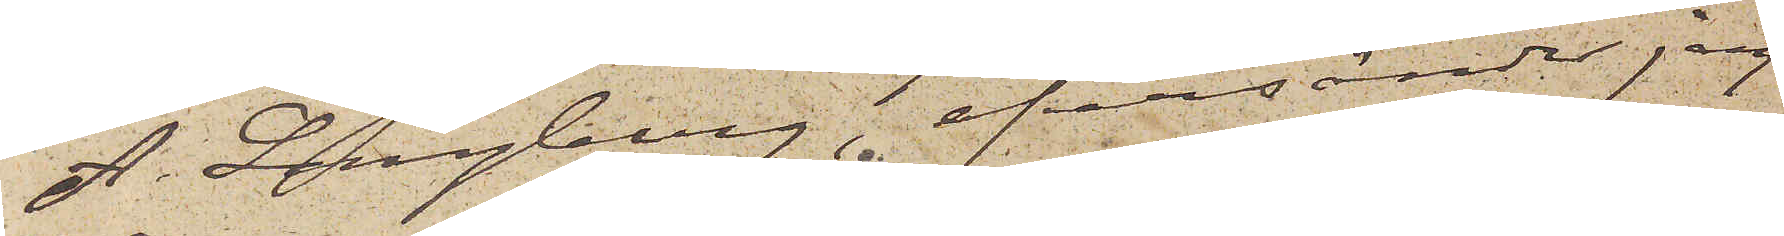A. Langberg, öfversänder jag
